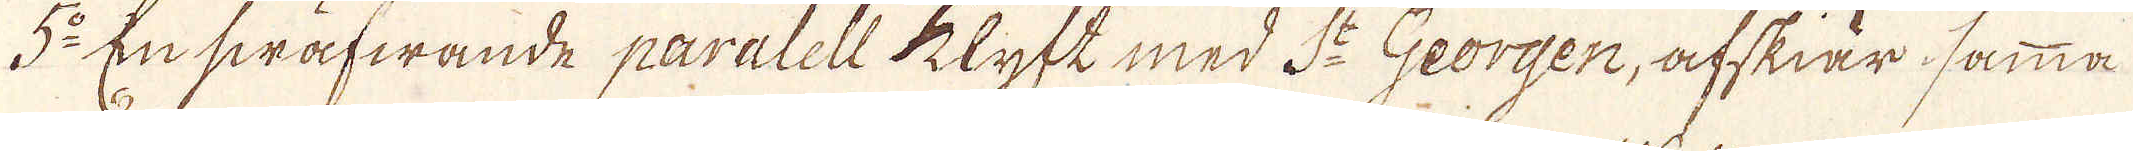5:o En swäfwande paralell klyft med S:t Georgen, afskiär samma
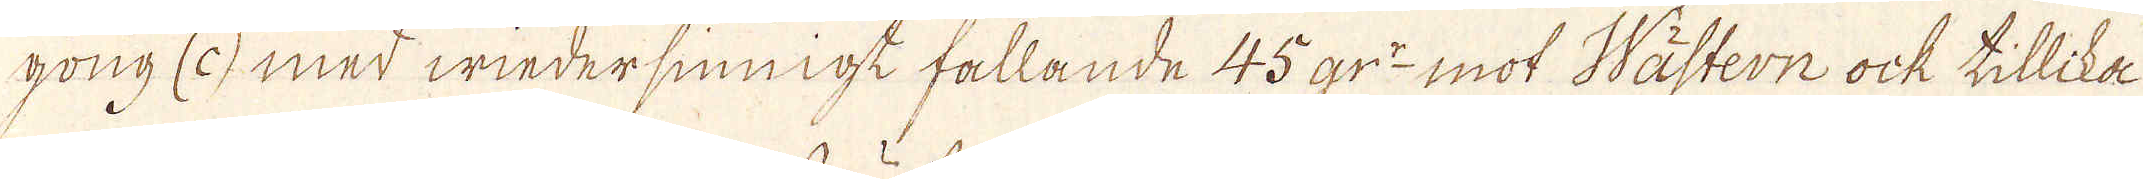gong (c) med wiedersinnigt fallande 45 gr:r mot Wästern ock tillika
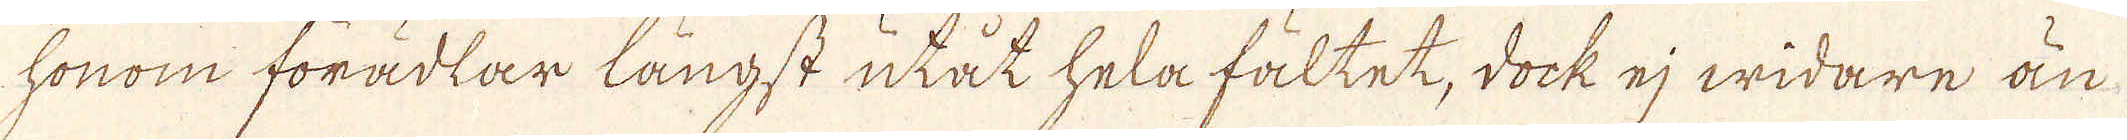honom förädlar långst utåt hela fältet, dock ej widare än
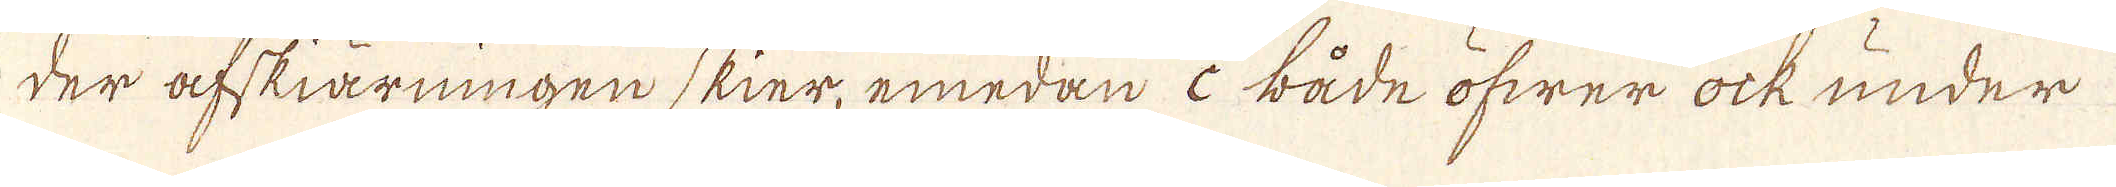der afskiärningen skier, emedan c både öfwer ock under
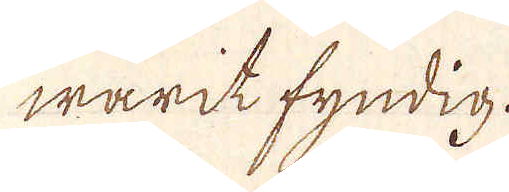warit fyndig.
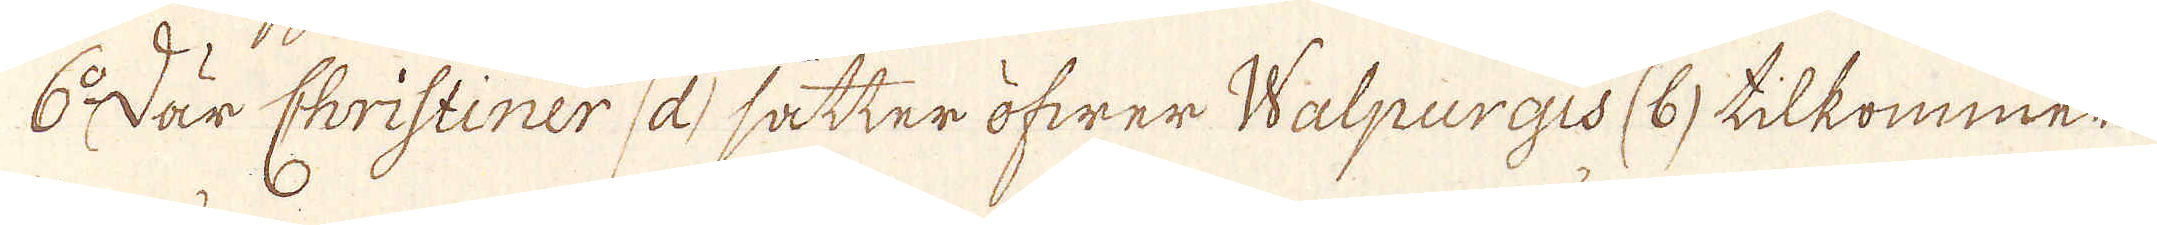6:o Där Christiner (d) sätter öfwer Walpurgis (b) tilkommer
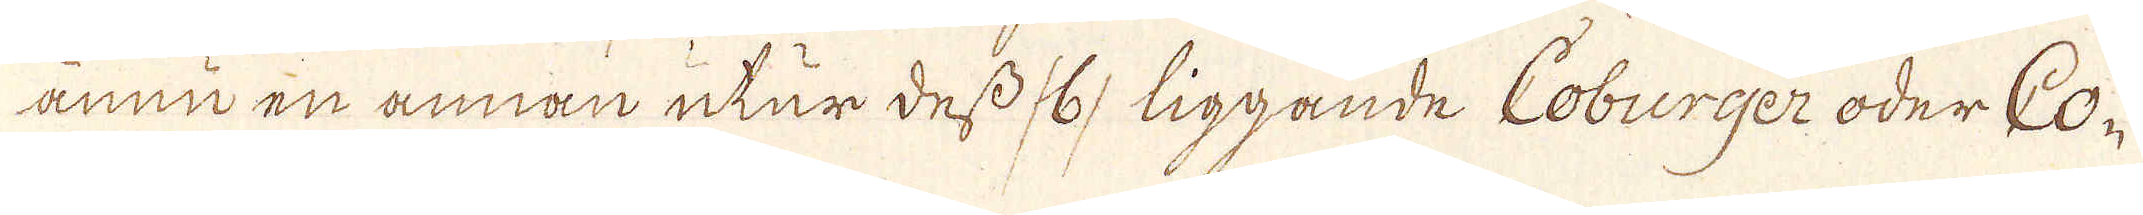ännu en annan utur dess /6/ liggande Coburger oder Co-
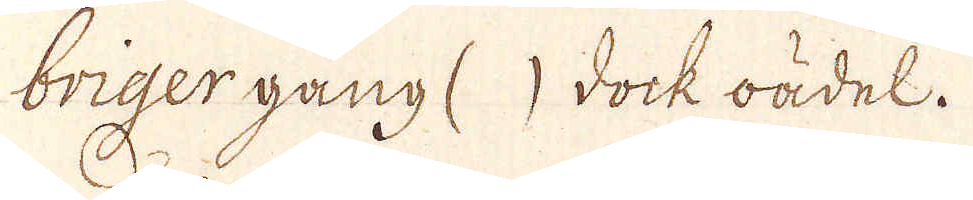briger gång ( ) dock oädel.
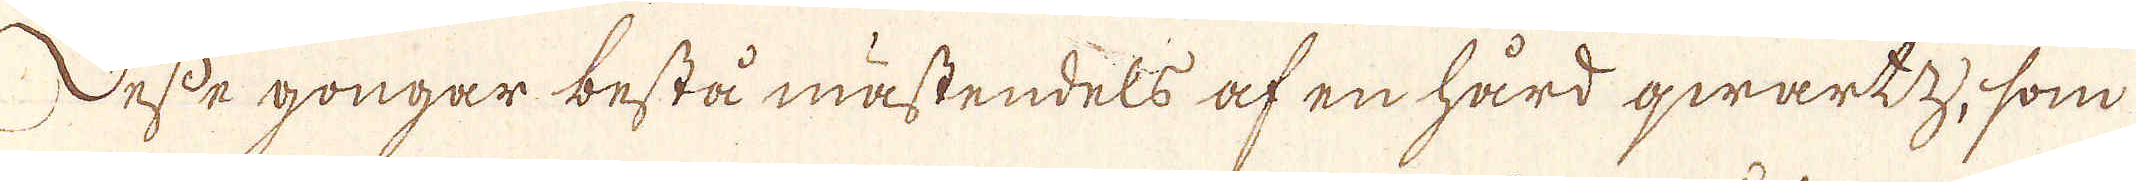Desse gongar bestå mästendels af en hård qwartz, som
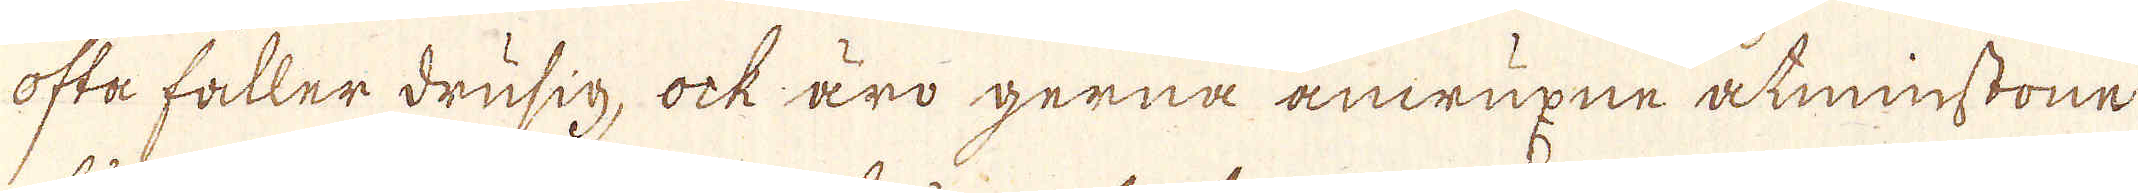ofta faller drusig, ock äro gerna anwuxne åtminstone
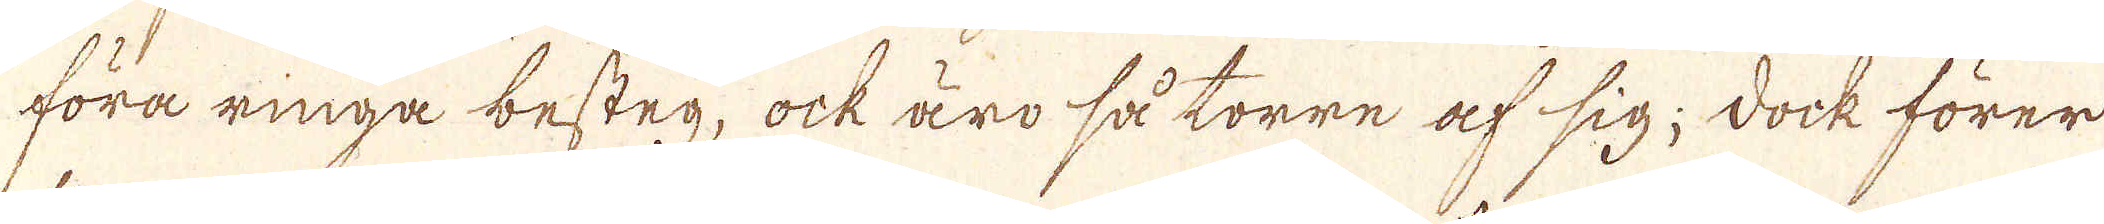föra ringa besteg, ock äro så torre af sig; dock förer
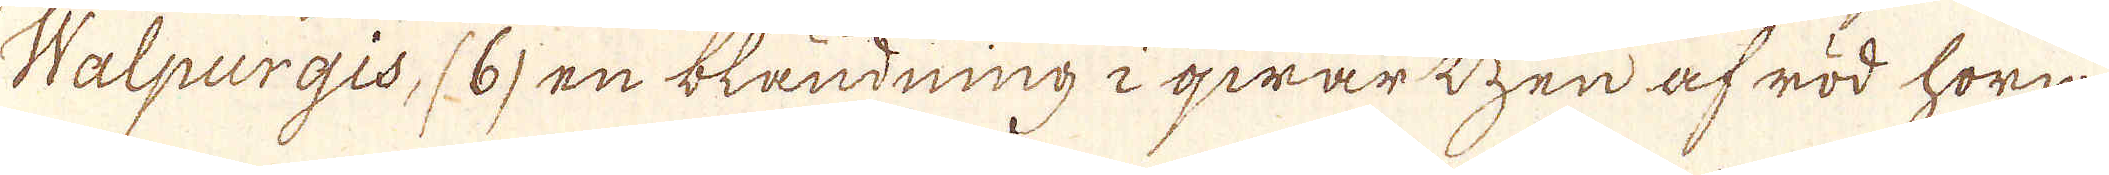Walpurgis, (6) en bländning i qwartzen af röd horn-
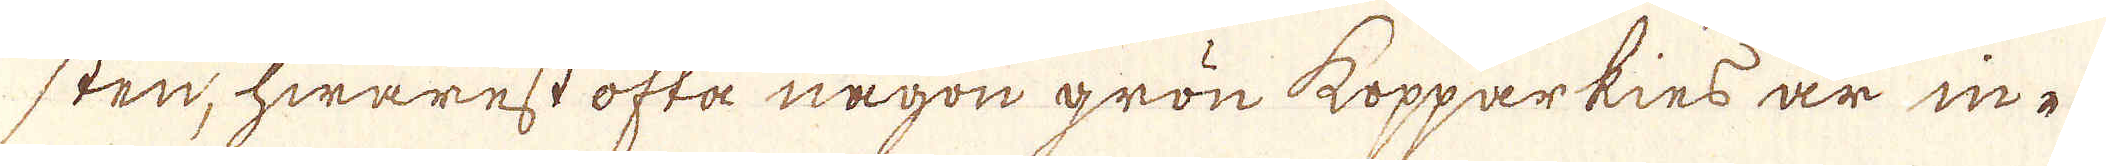sten, hwarest ofta någon grön kopparkies är ine
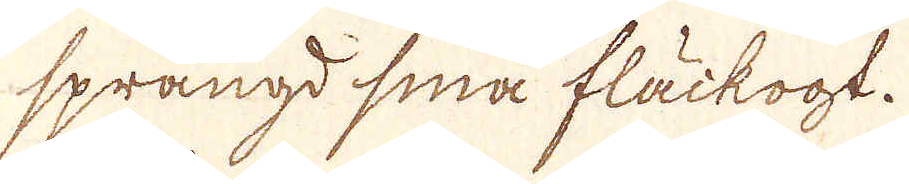sprängd sina fläckogt.
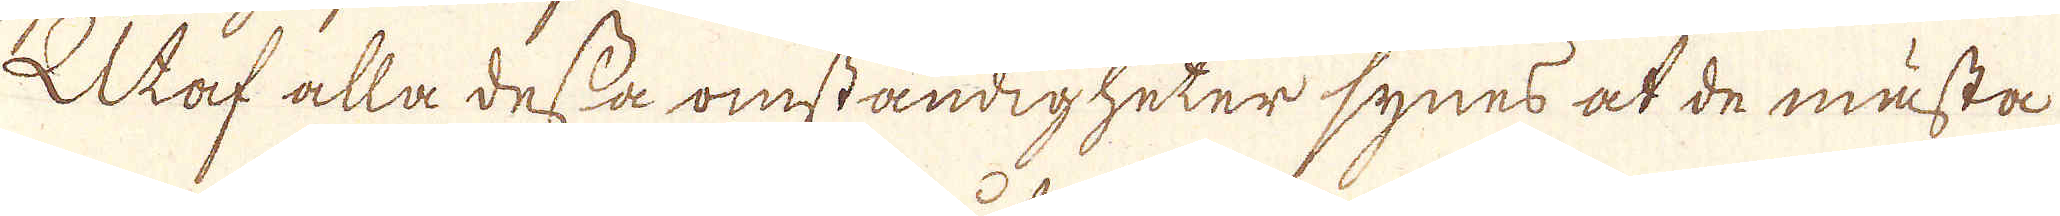Utaf alla dessa omständigheter synes at de mästa
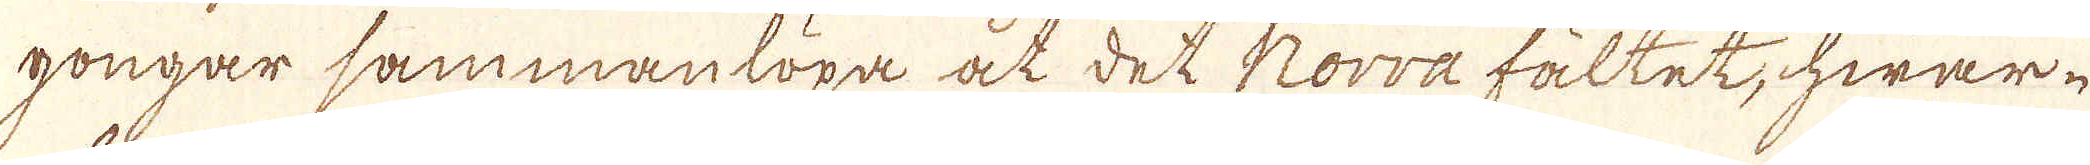gongar sammanlöpa at det Norra fältet, hwar-
